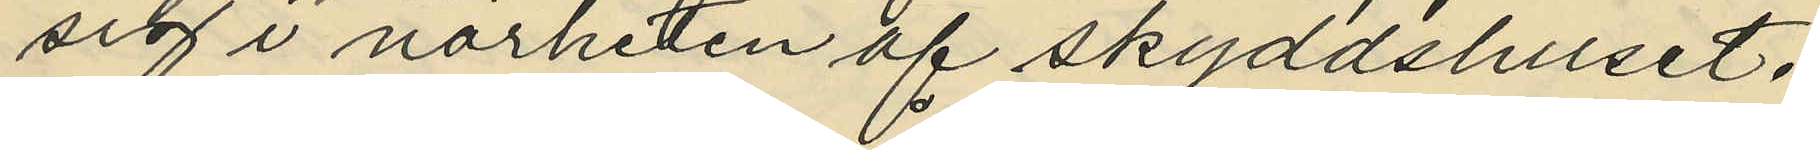sig i närheten af skyddshuset.
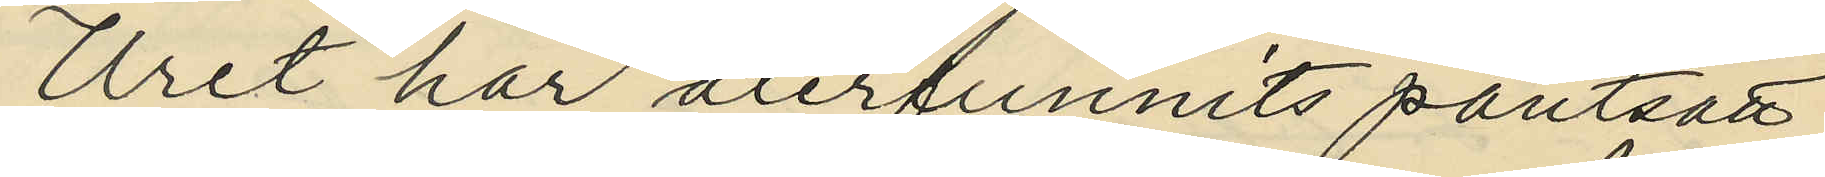Uret har återfunnits pantsatt
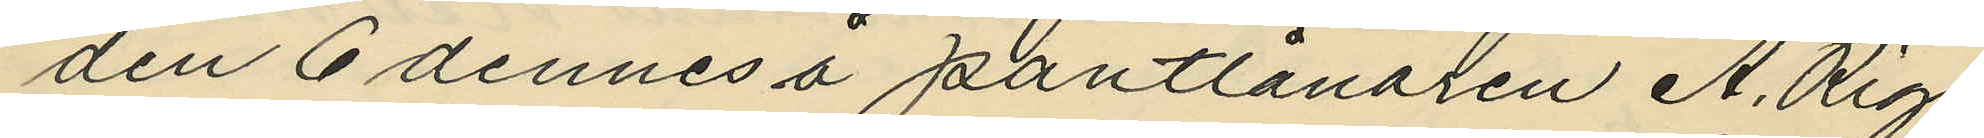den 6 dennes å pantlånaren A. Rig¬
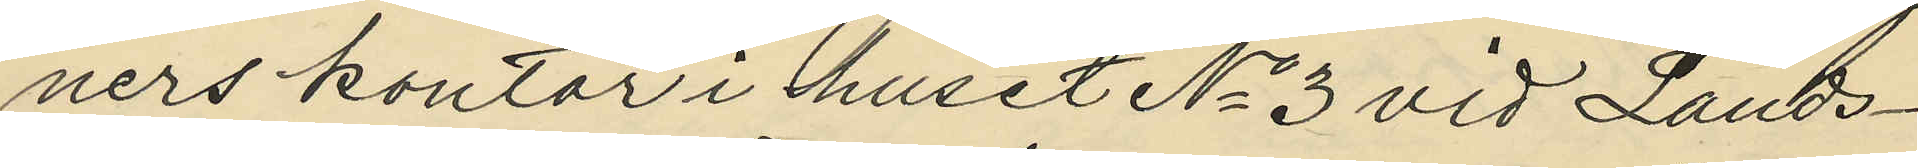ners kontor i huset No 3 vid Lands¬
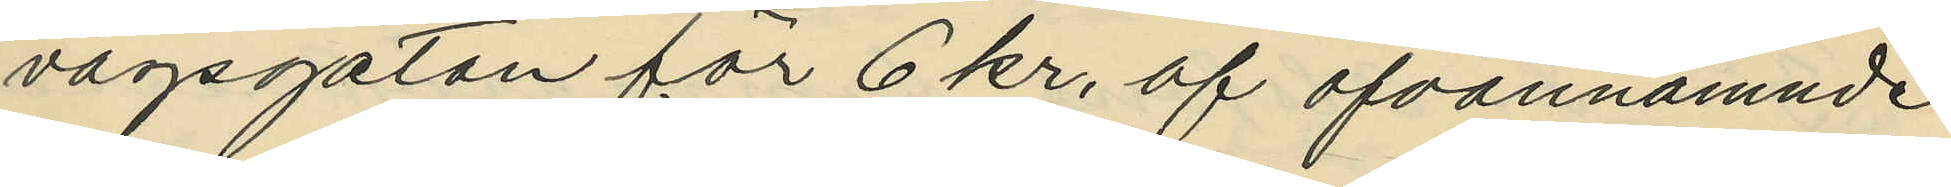vägsgatan för 6 kr. af ofvannämnde
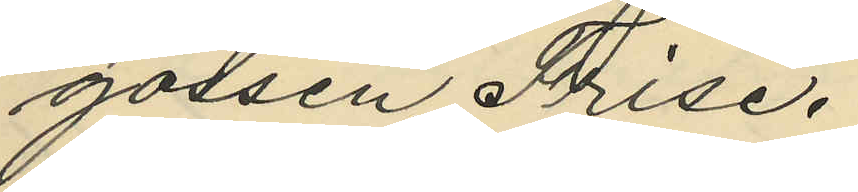gossen Frise.
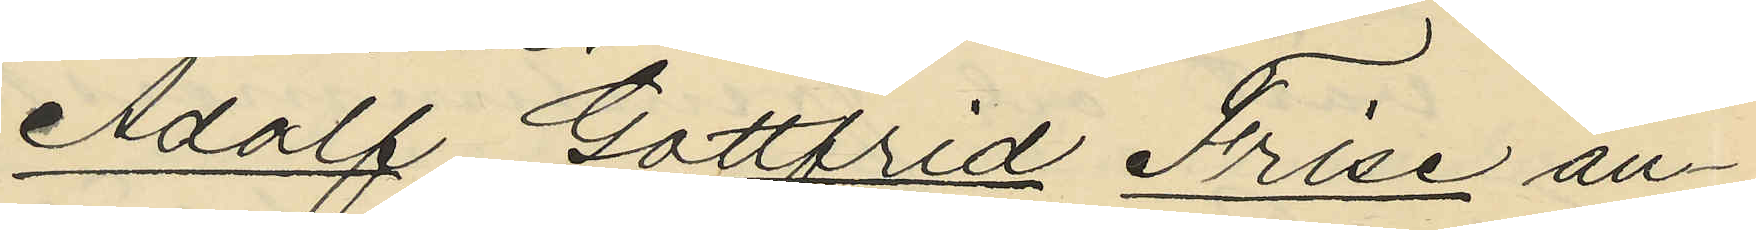Adolf Gottfrid Frise an¬
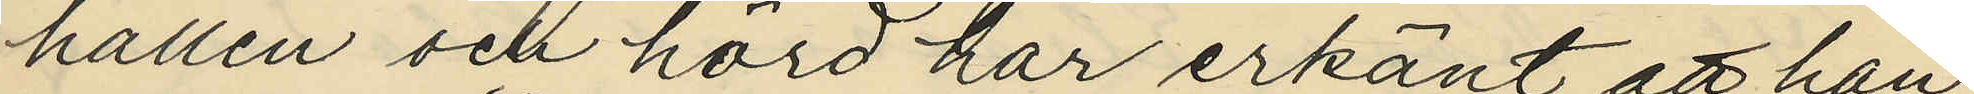hållen och hörd har erkänt att han
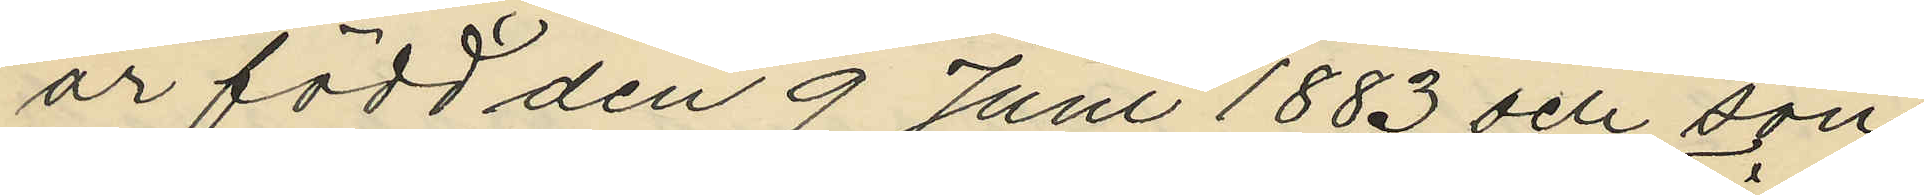är född den 9 Juni 1883 och son
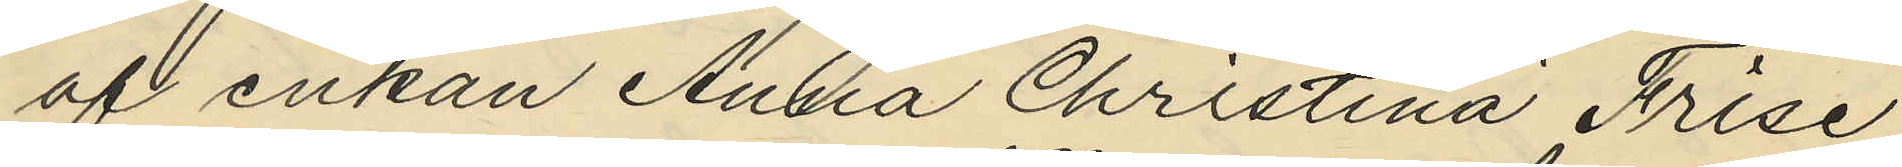af enkan Anna Christina Frise
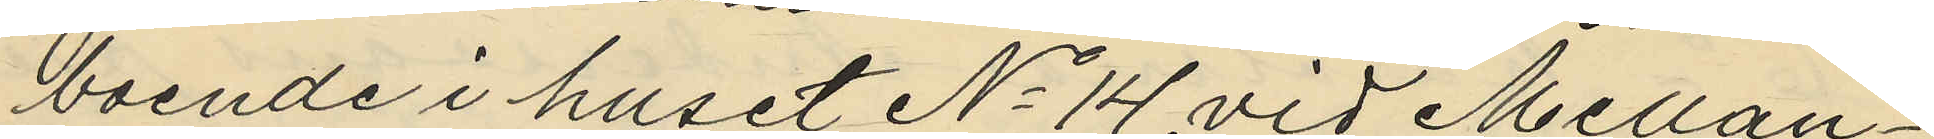boende i huset No 14 vid Mellan¬
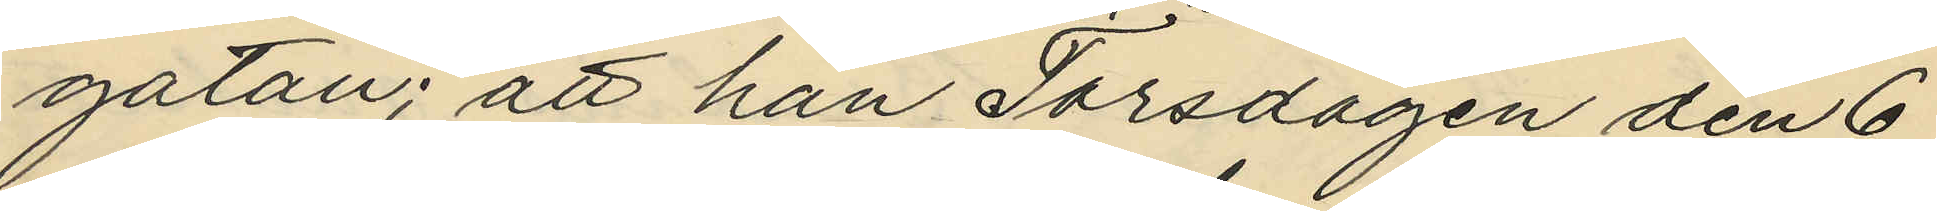gatan; att han Torsdagen den 6
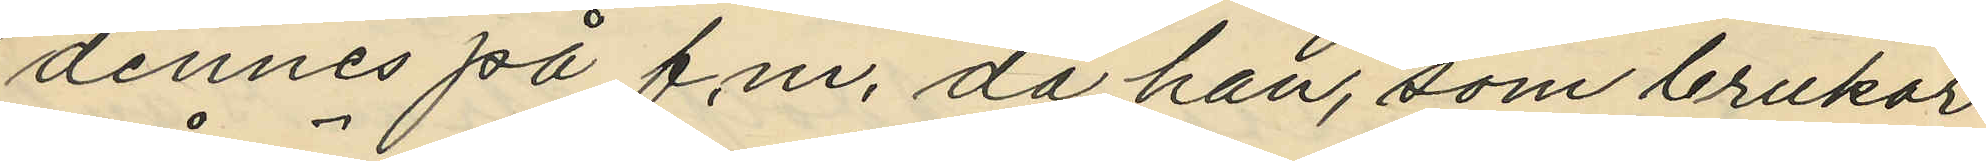dennes på f.m. då han, som brukar
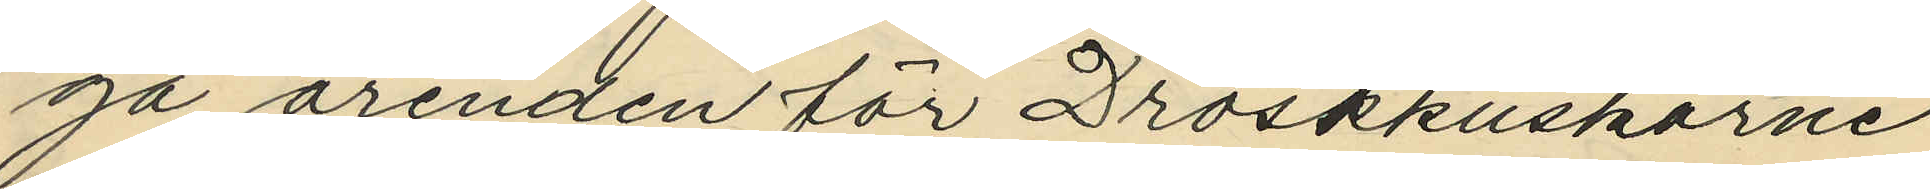gå ärenden för Droskkuskarne
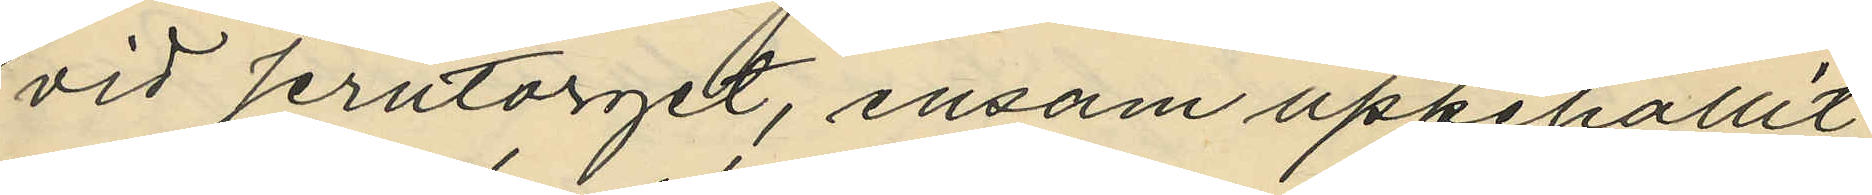vid Jerntorget, ensam uppehållit
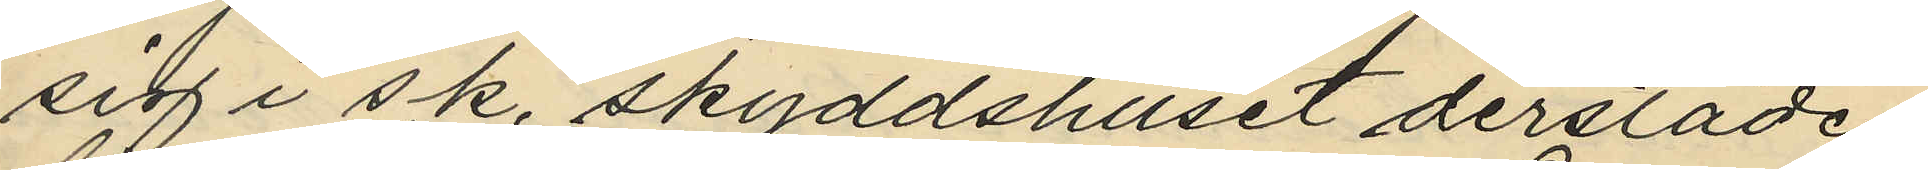sig i s.k. skyddshuset derstädes
